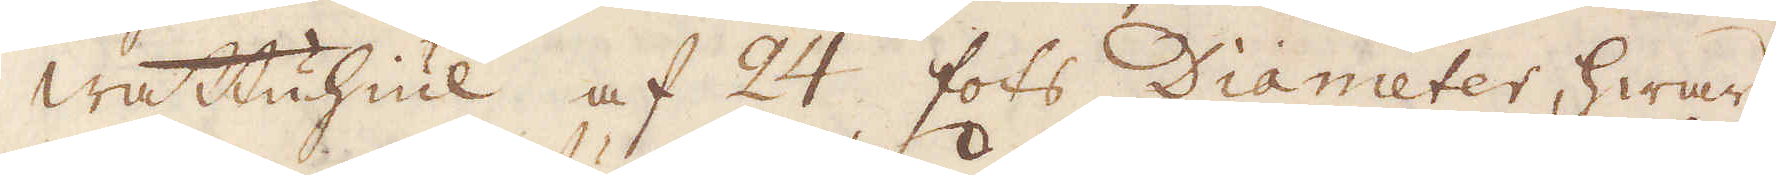wattuhiul af 24 fots Diameter, hwars
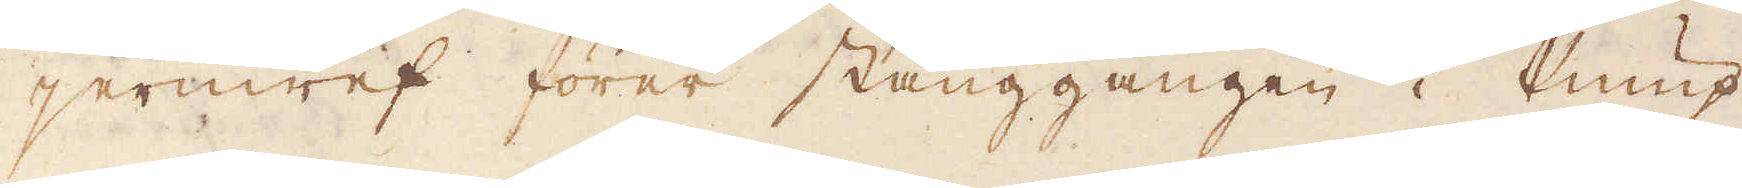jernwef förer stånggången i Pump-
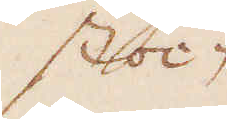stoc-
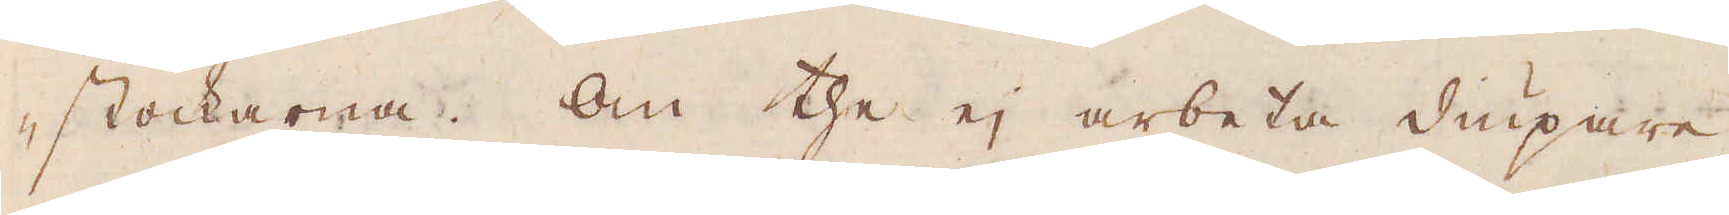stockarna. Om the ej arbeta diupare
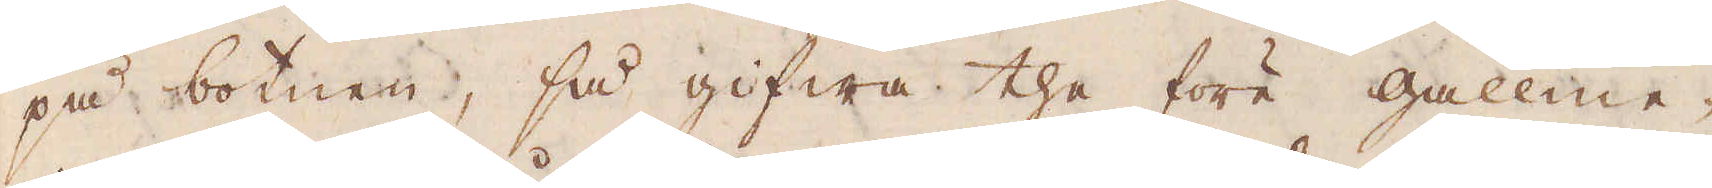på botnen, så gifwa the före gallme-
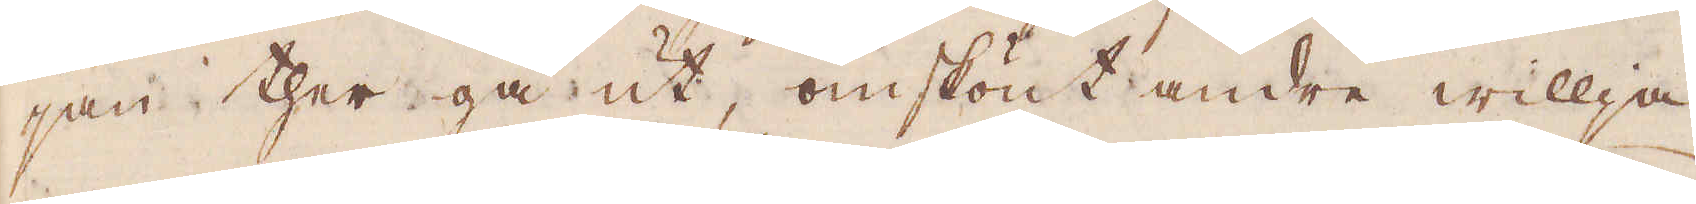jan ther gå ut, omskönt andre willja
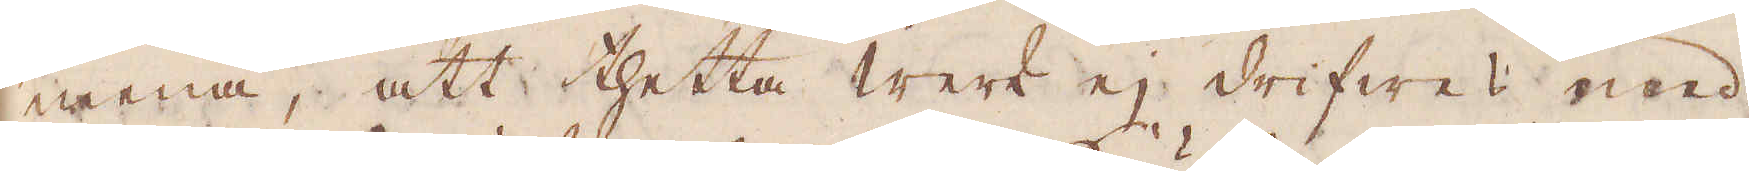mena, att thetta werk ej drifwes med
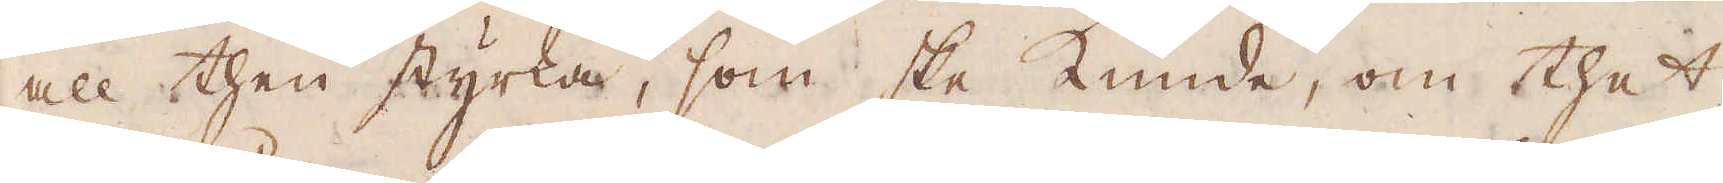all then styrka, som ske kunde, om thet
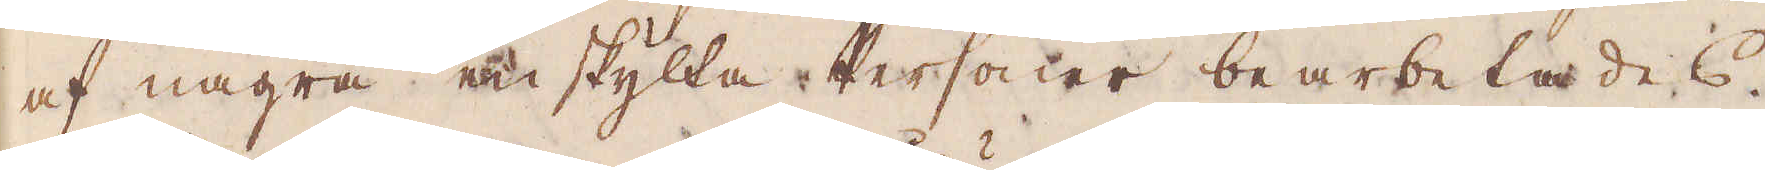af några enskylta Personer bearbetades.
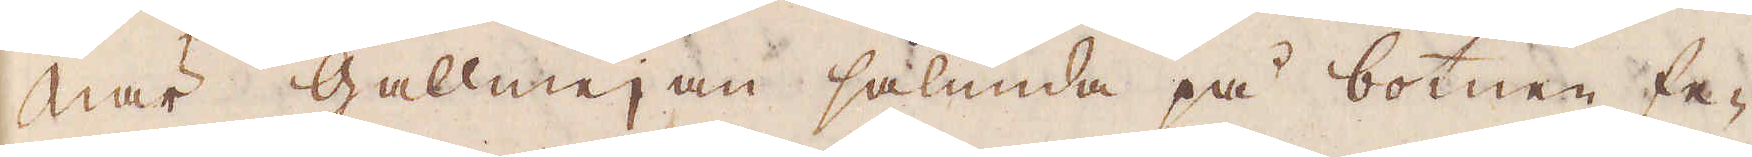När gallmejan sålunda på botnen fe-
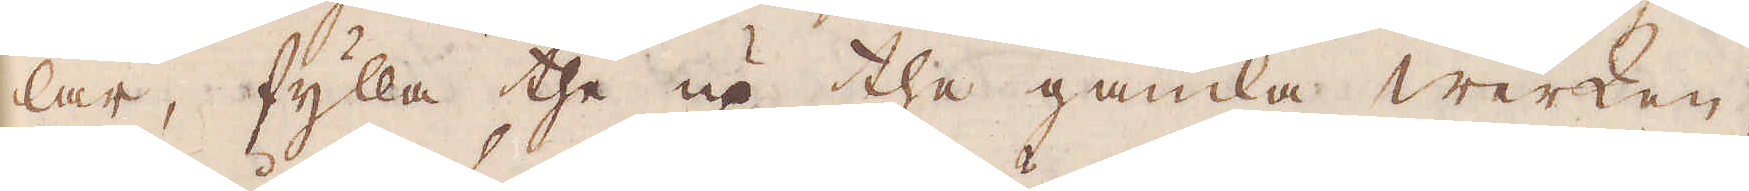lar, fylla the up the gamla werken,
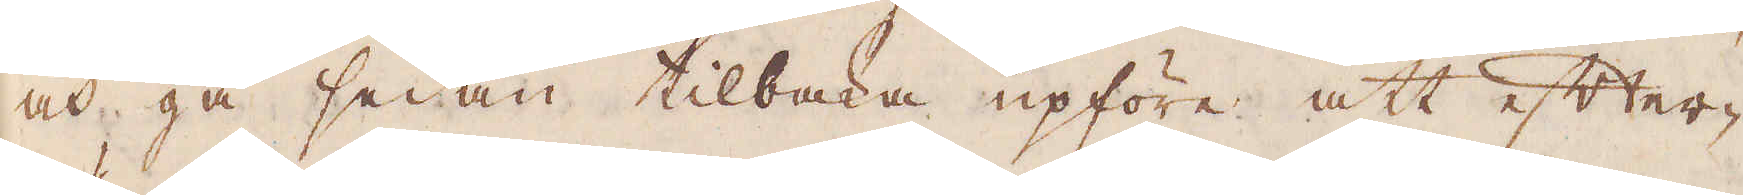och gå sedan tillbaka upföre att efter-
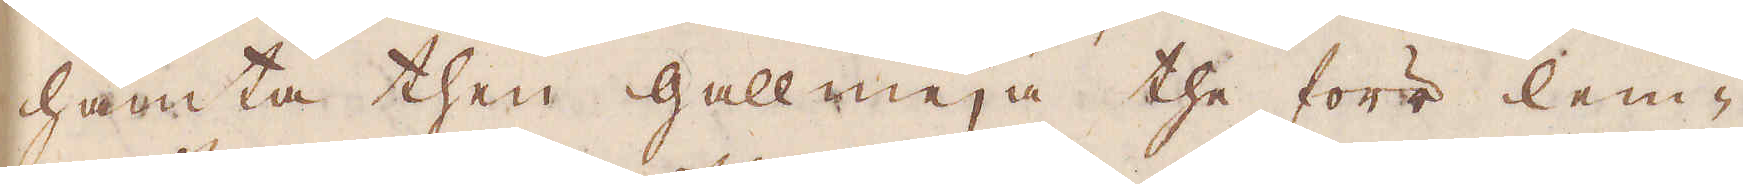hämta then gallmeja the förr lem-
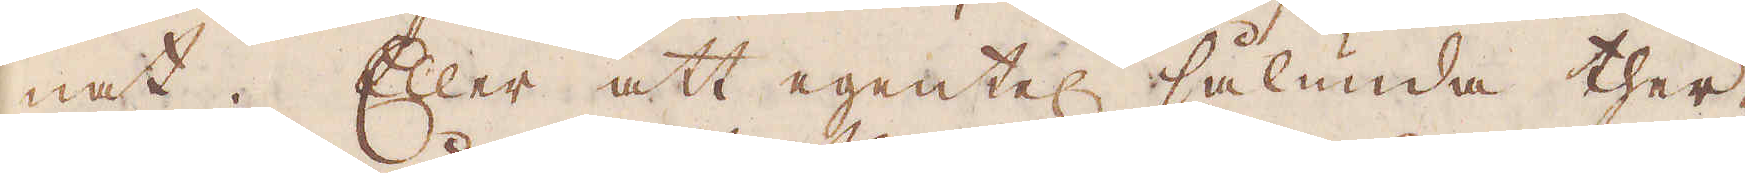nat. Eller att egentel: sålunda ther-
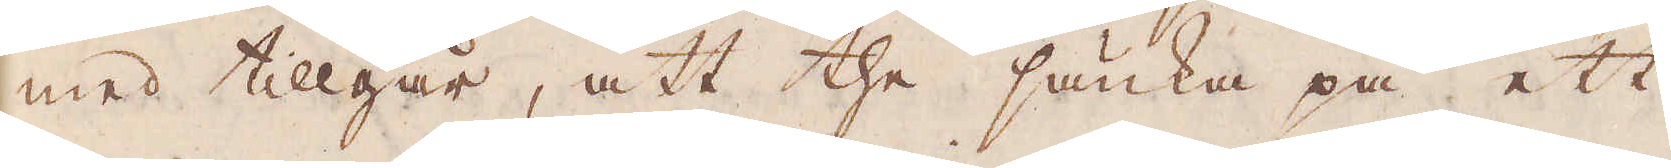med tillgår, att the sänka på ett
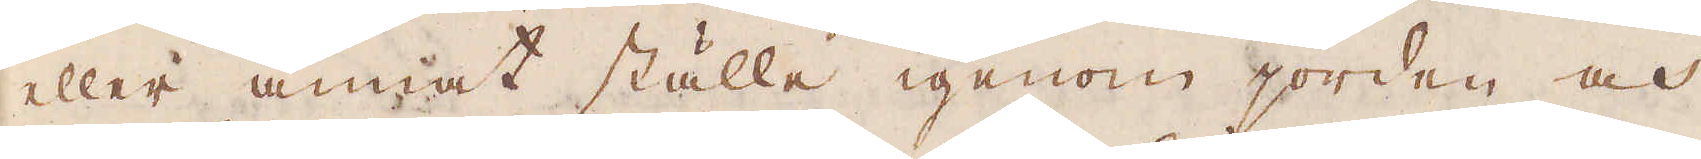eller annat ställe igenom jorden och
